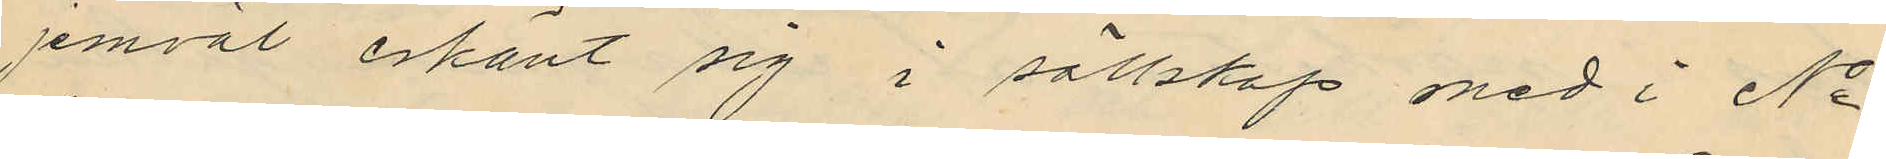jemväl erkänt sig i sällskap med i No
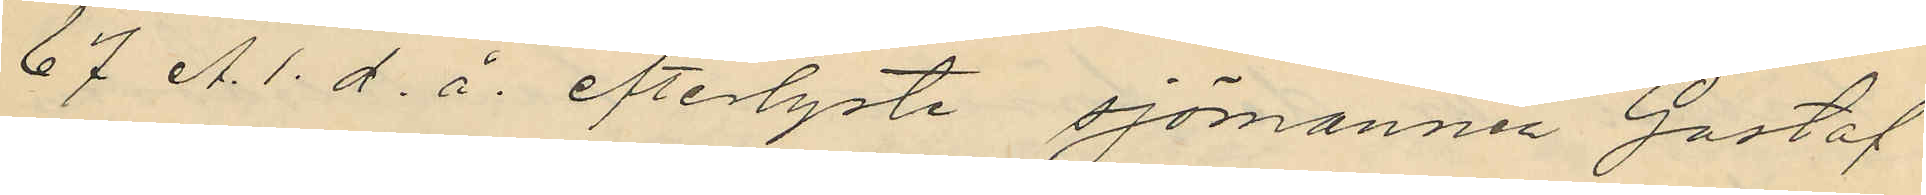67 A.1. d. å. efterlyste sjömannen Gustaf
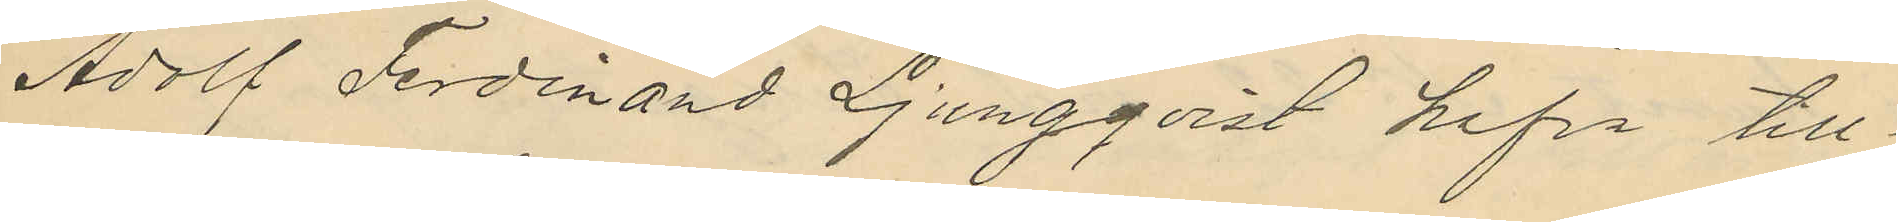Adolf Ferdinand Ljungqvist hafva till¬
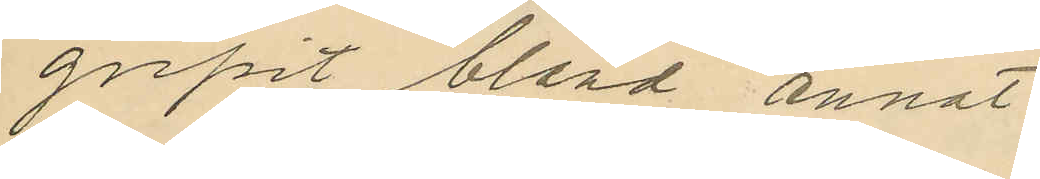gripit bland annat
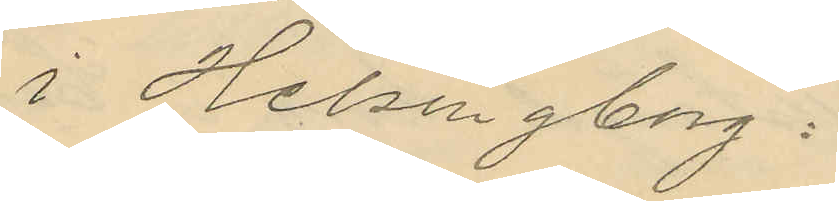i Helsingborg:
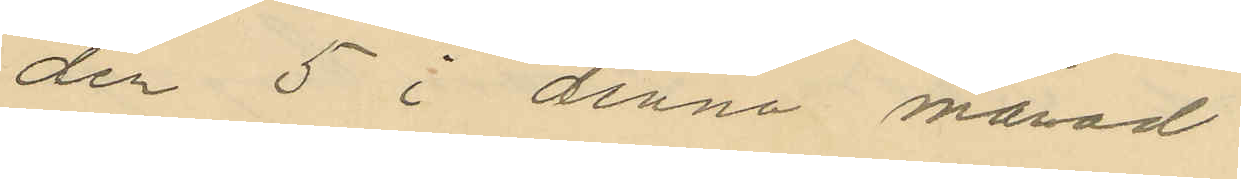den 5 i denna månad
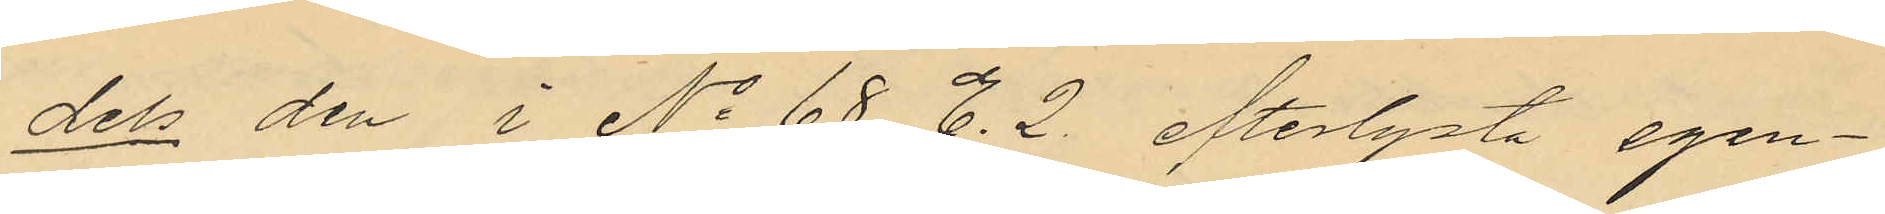dels den i No 68 E.2. efterlysta egen¬
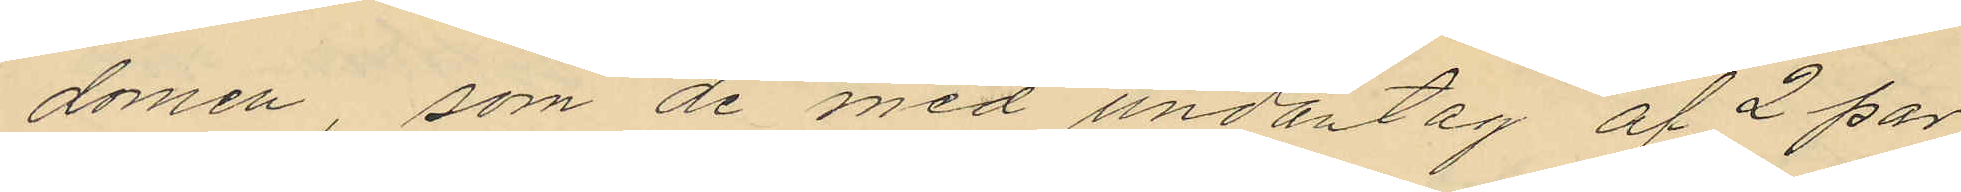domen, som de med undantag af 2 par
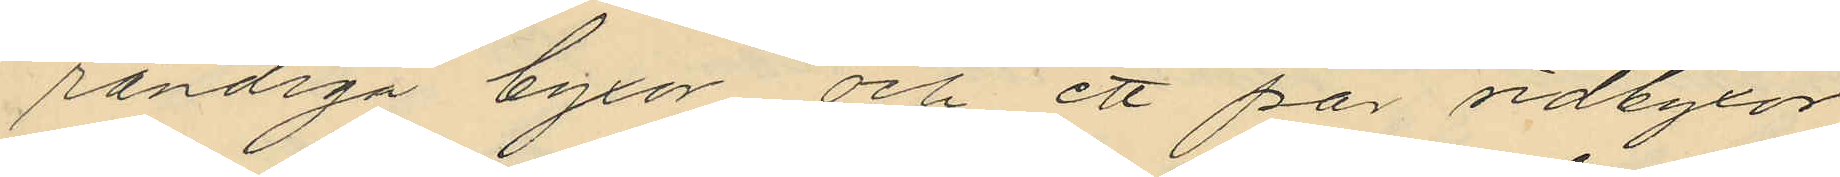randiga byxor och ett par ridbyxor
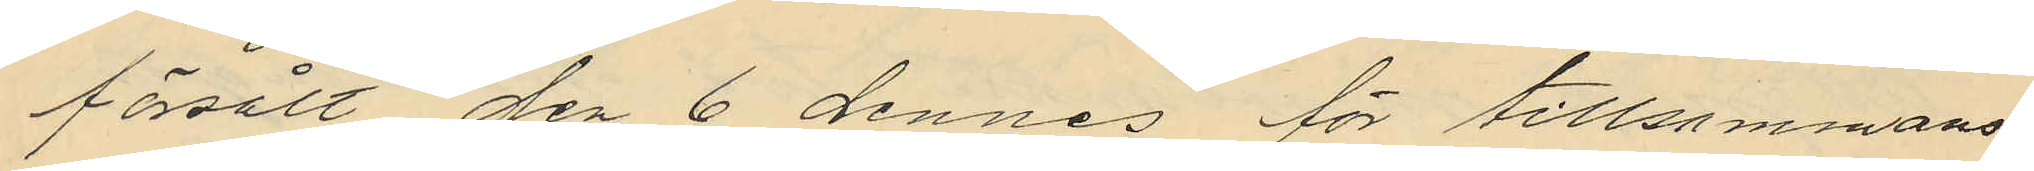försålt den 6 dennes för tillsammans
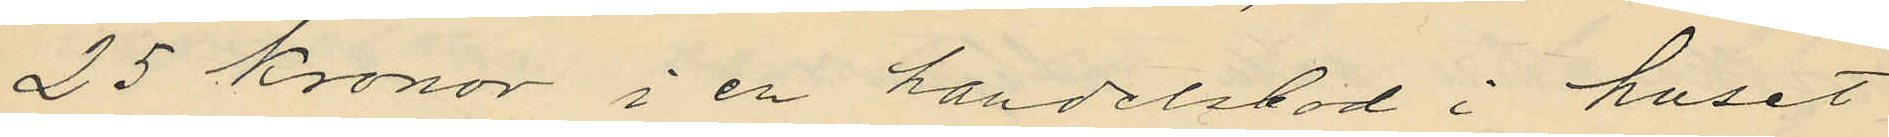25 kronor i en handelsbod i huset
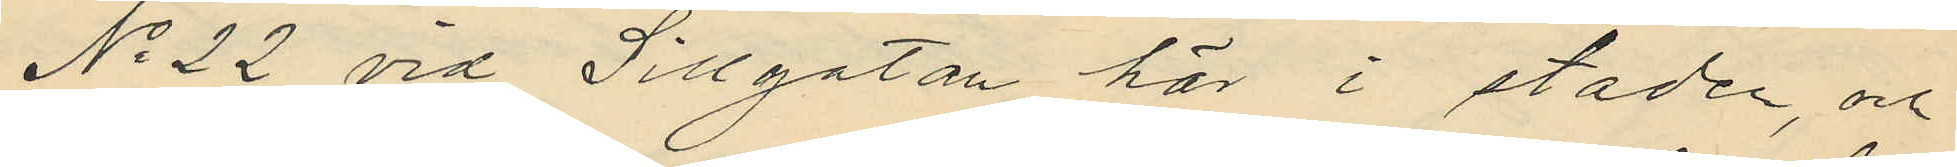No 22 vid Sillgatan här i staden, och
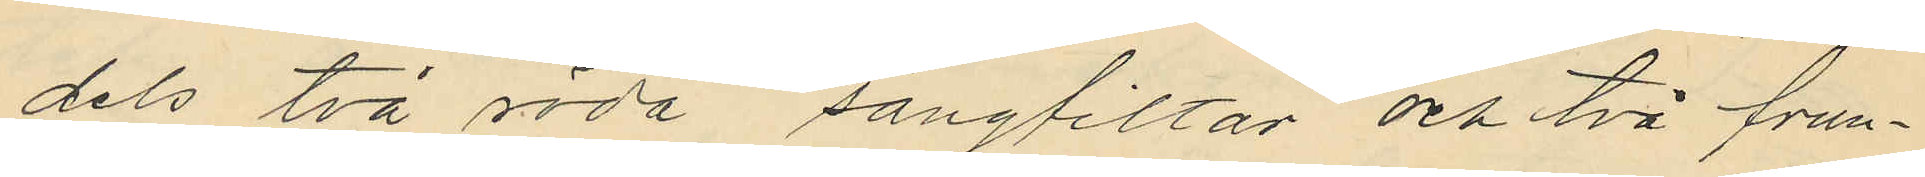dels två röda sängfiltar och två frun¬
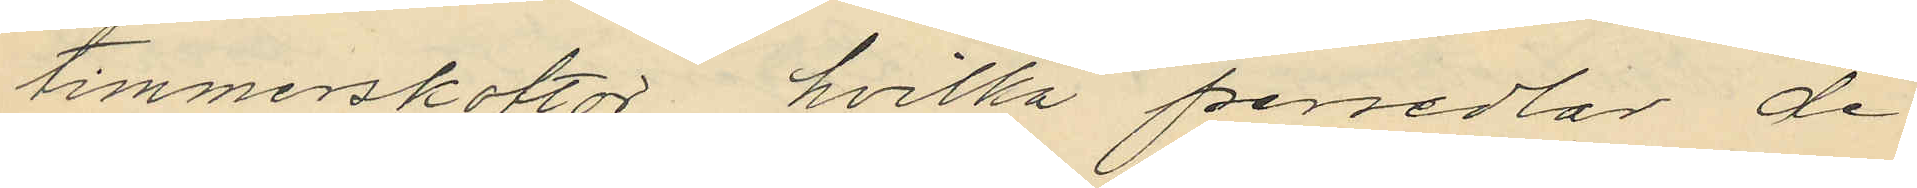timmerskoftor, hvilka persedlar de
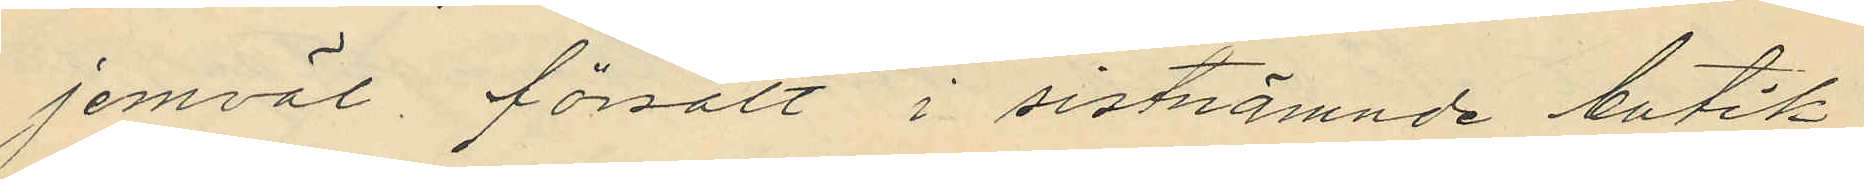jemväl försålt i sistnämnde butik,
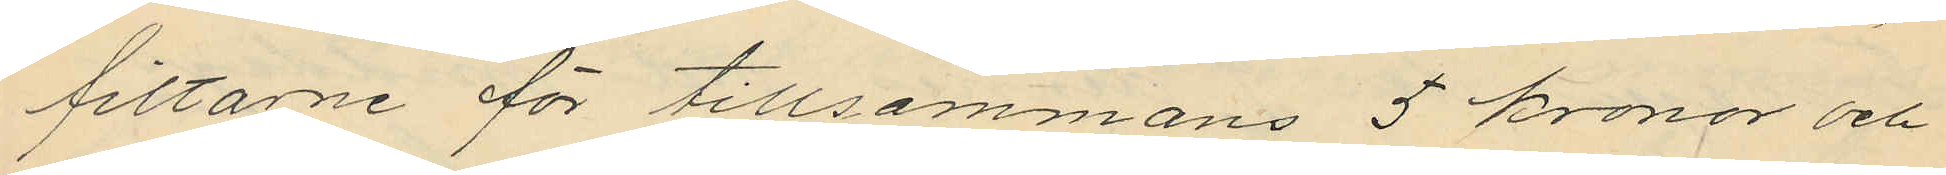filtarne för tillsammans 5 kronor och
